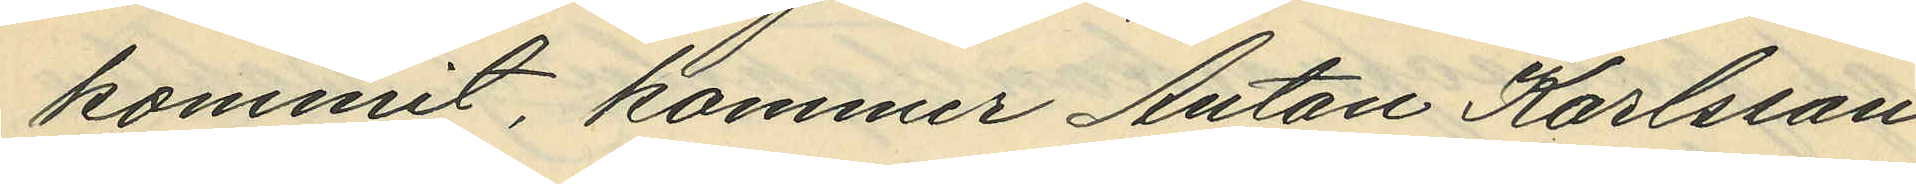kommit, kommer Anton Karlsson
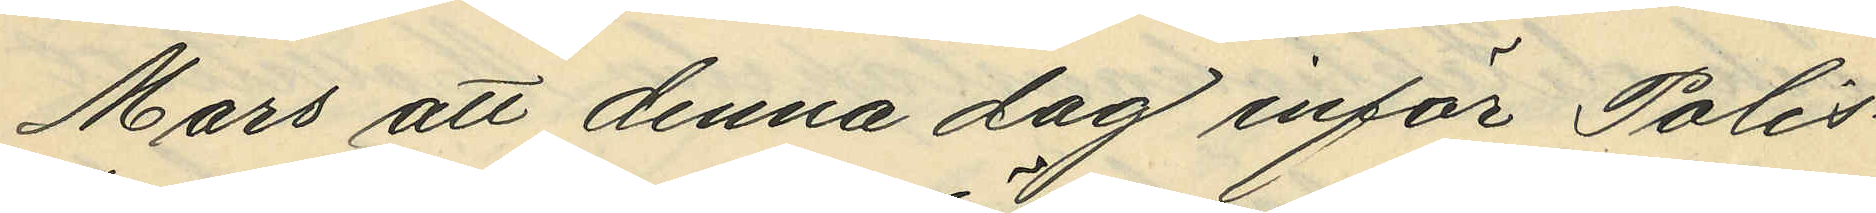Mars att denna dag inför Polis¬
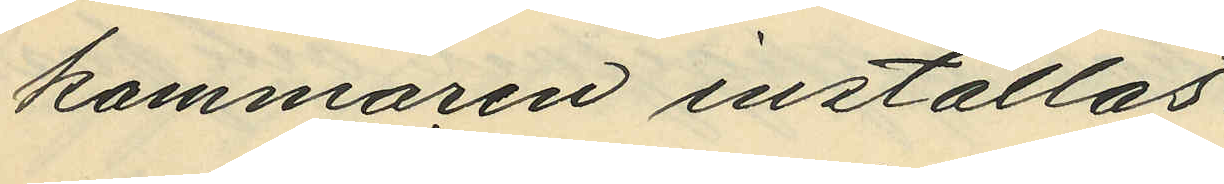kammaren inställas.
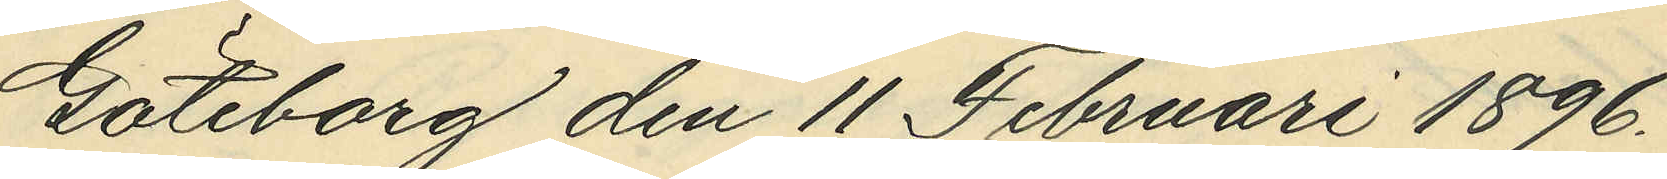Göteborg den 11 Februari 1896.
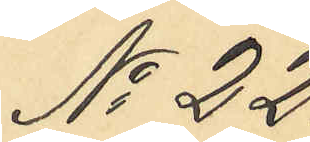No 22.
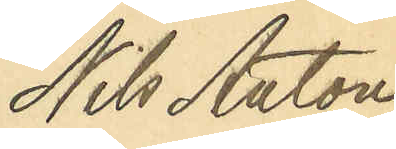Nils Anton
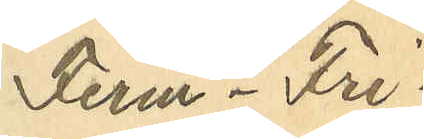Ferm - Fri¬
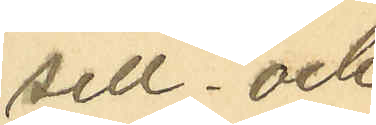sell och 
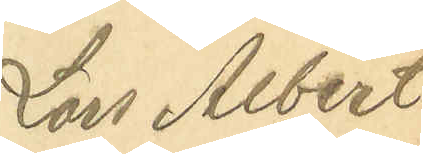Lars Albert
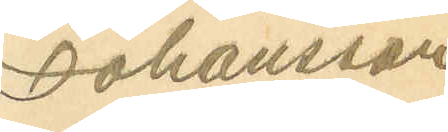Johansson
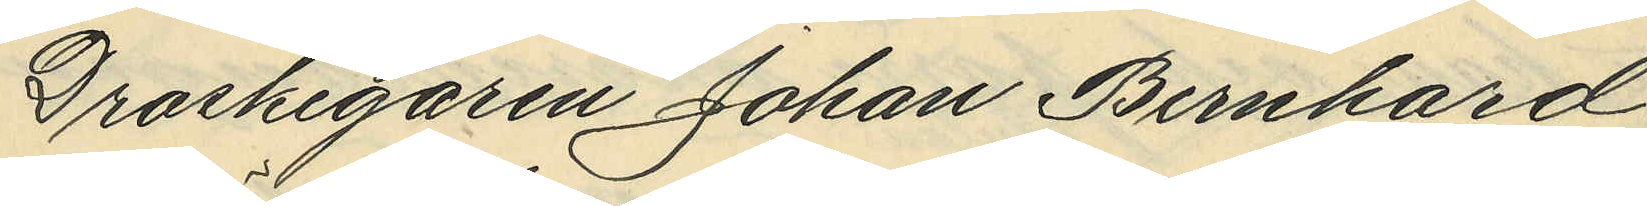Droskegaren Johan Bernhard
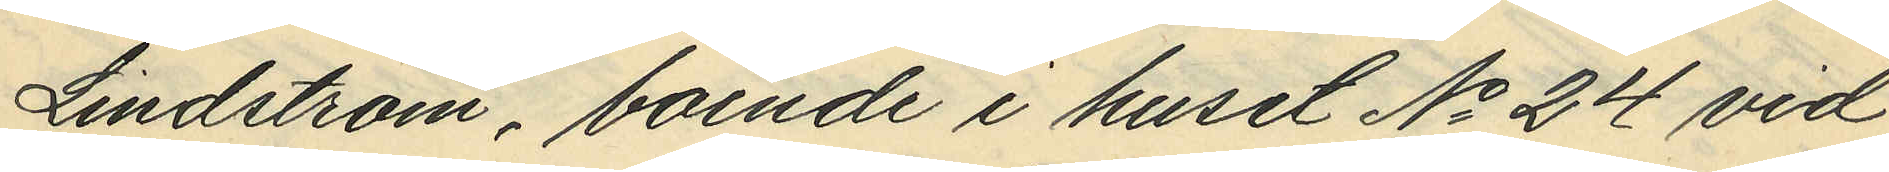Lindström, boende i huset No 24 vid
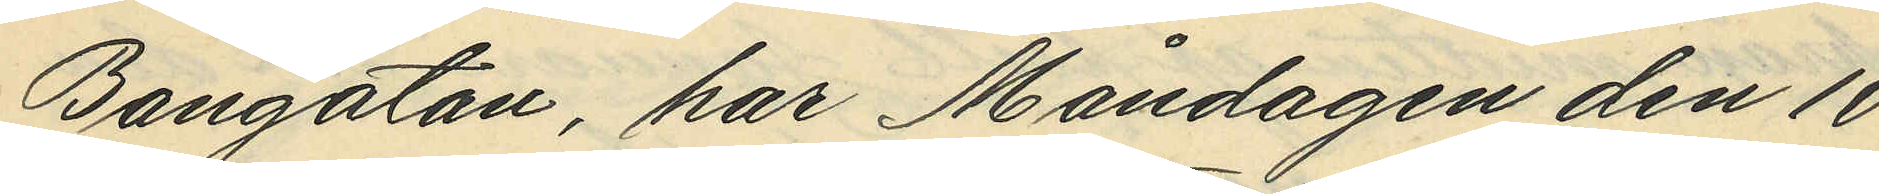Bangatan, har Måndagen den 10
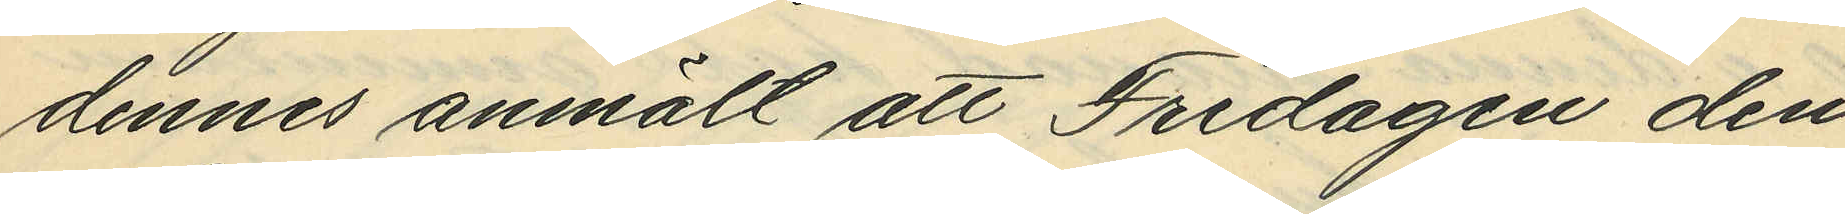dennes anmält att Fredagen den
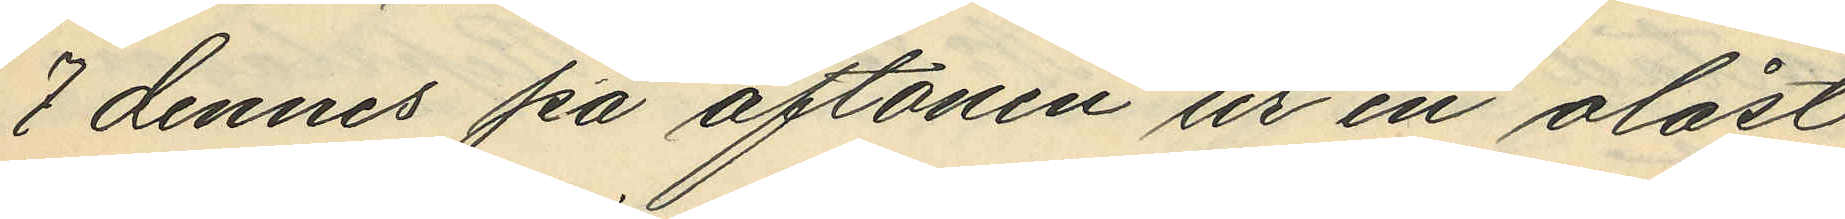7 dennes på aftonen ur en olåst
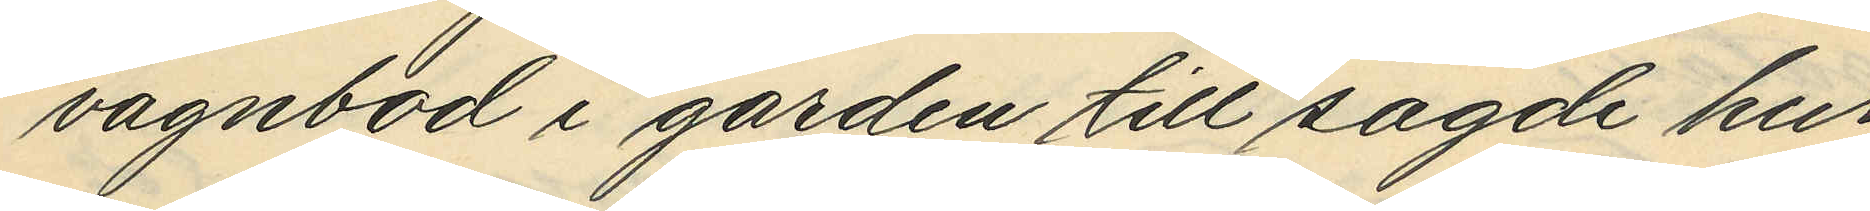vagnbod i garden till sagde hus
